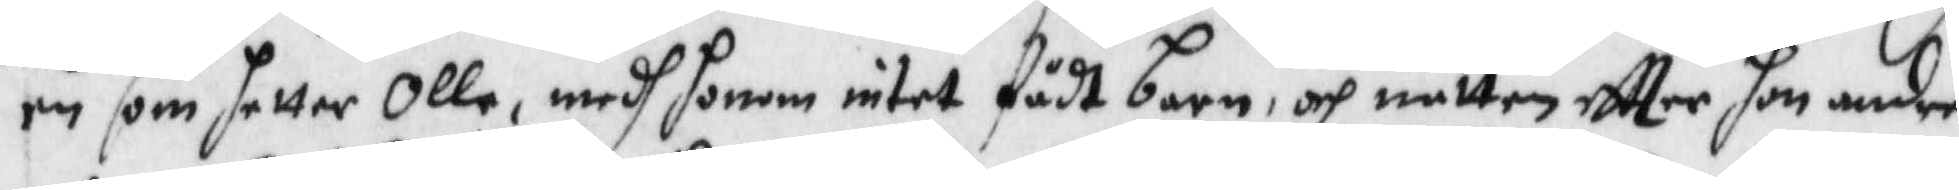en som hetter Olle, medh honom intet fådt barn, och natten eftter hon andre
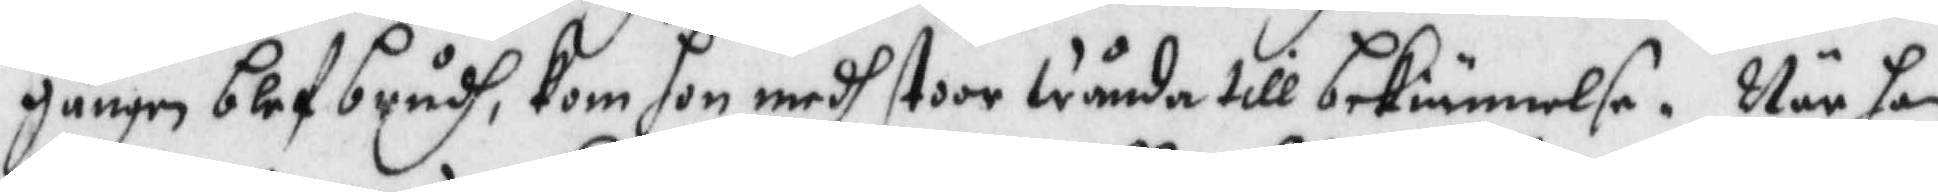gången blef brudh, kom hon medh stor wända till bekiännelse, När hon
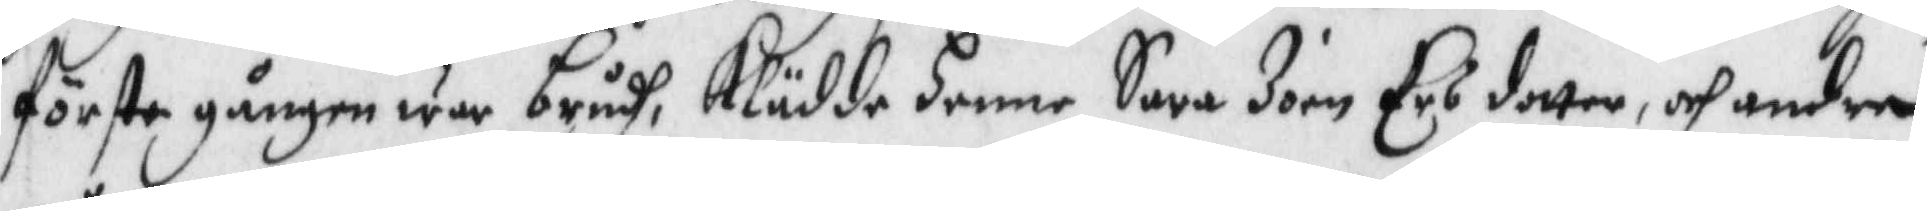förste gången war brudh, Klädde henne Sara Joen Ersdotter, och andra
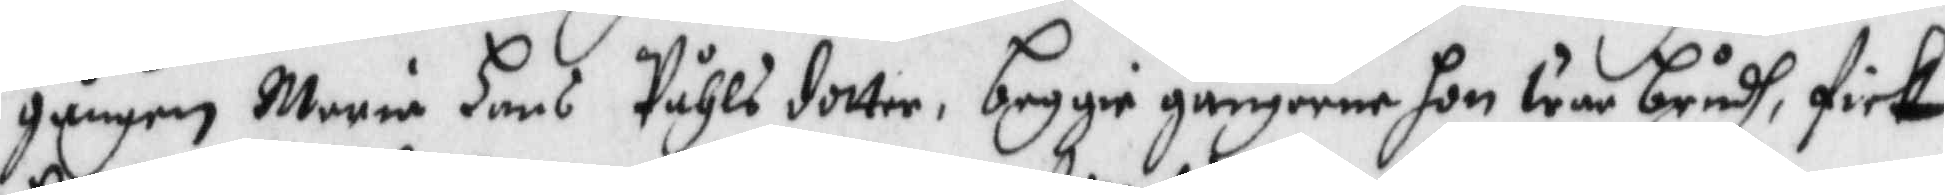gången Maria Hans Påhls dotter, beggie gångerne hon war brudh, fick
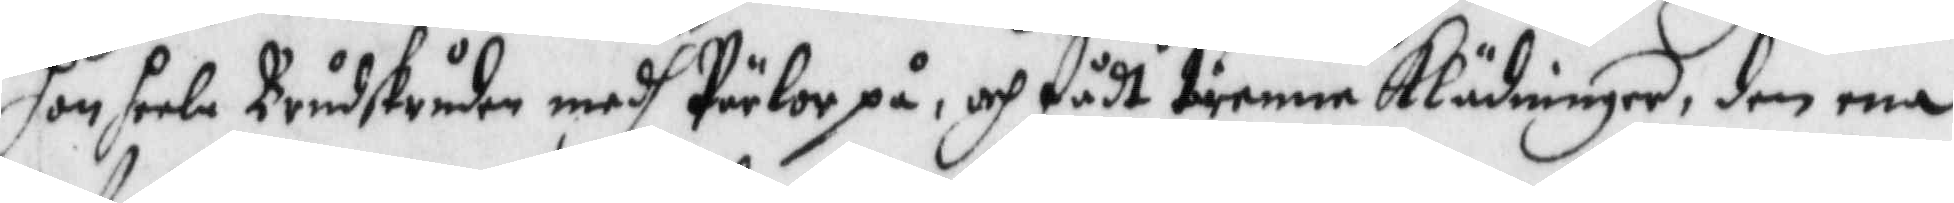hon heela Brudskruden medh Pärlot på, och fådt tienna Klädninger, den ena
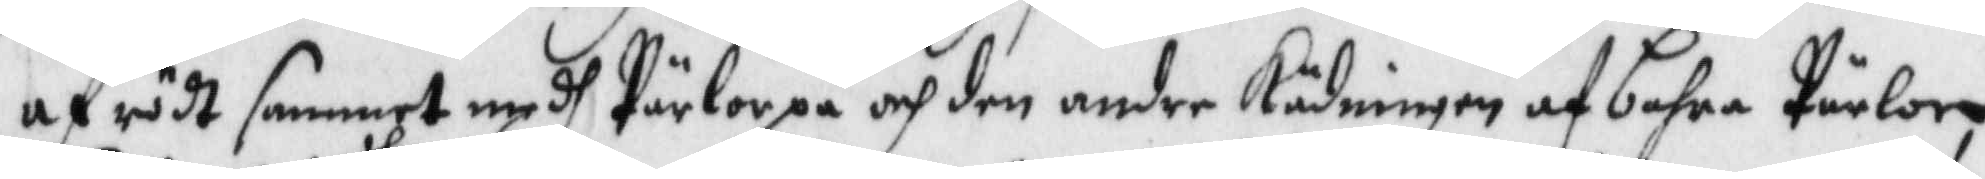af rödt sammet medh Pärlor på och den andre Kädningen af bahra Pärlor
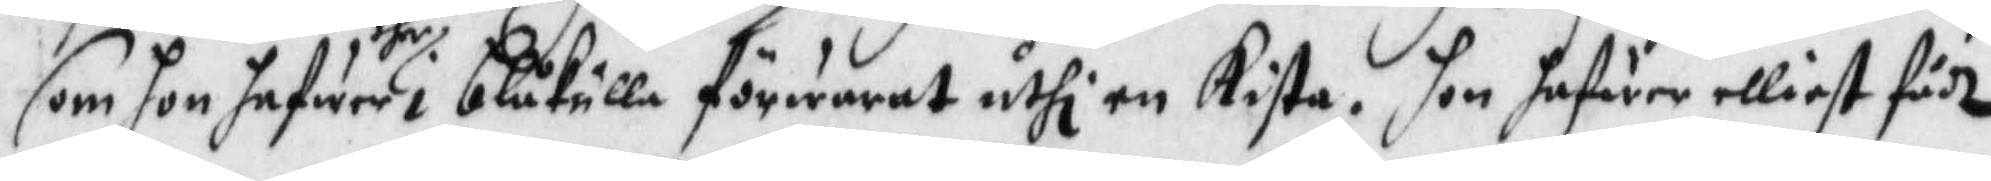som hon hafwer dher i blåkulla förwarat uthi en Kista. hon hafwer elliest fådt
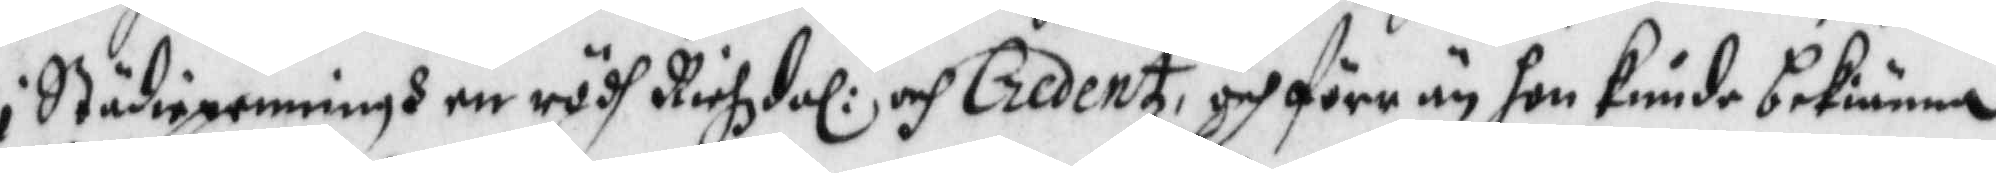i Städiepenningh en rödh Richzdal:r och Credentz,och förr än hon kunde bekiänna
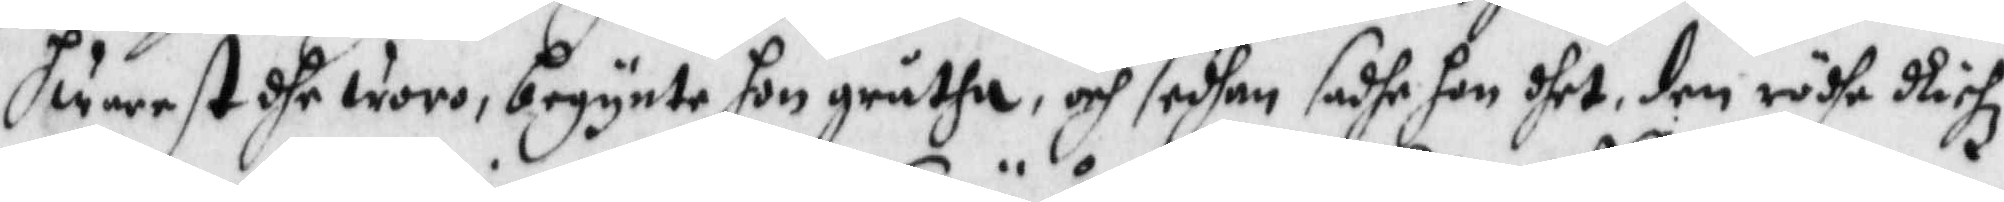hwarest dhe woro, begynte hon gråtha, och sedhan sadhe hon dhet, den rödhe Richz¬
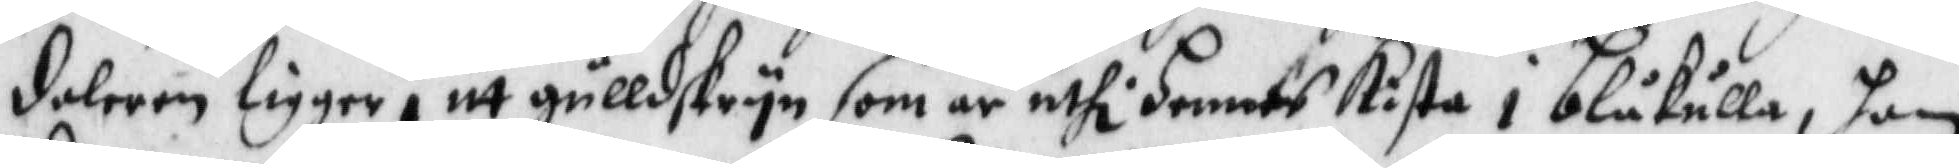daleren ligger i itt gulldskryn som är uthi hennes Kista i blåkulla, hon
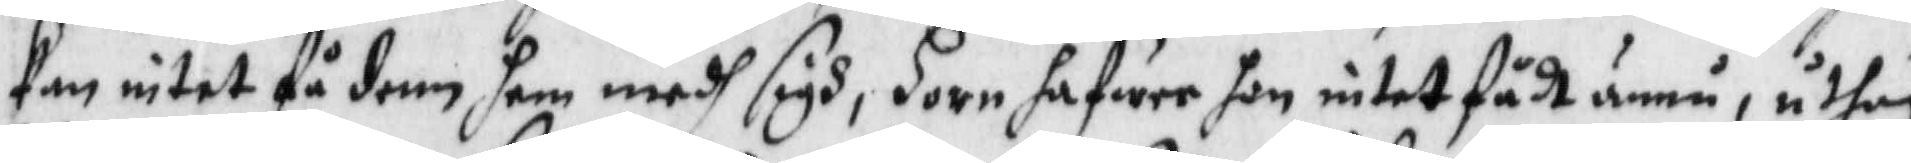kan intet få dem hem medh sigh, Horn hafwer hon intet fådt ännu, uthan
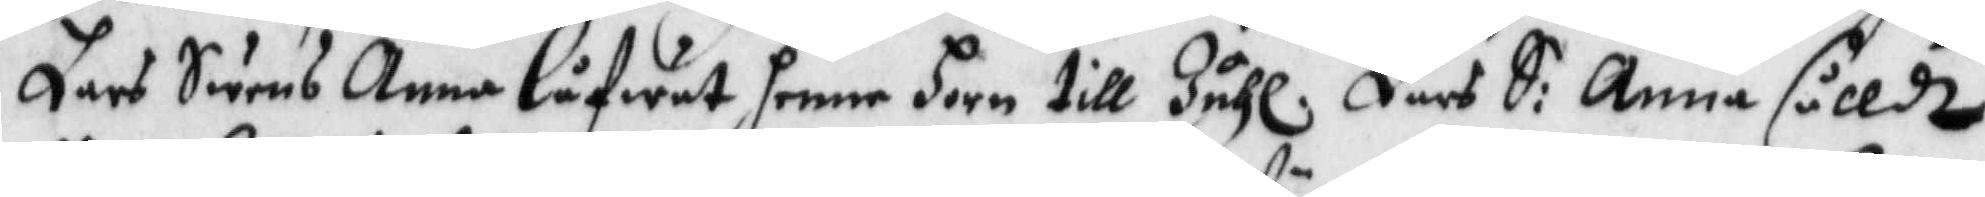Lars Swens Anna låfwat henne Horn till Juhl. Lars S: Anna sålldt
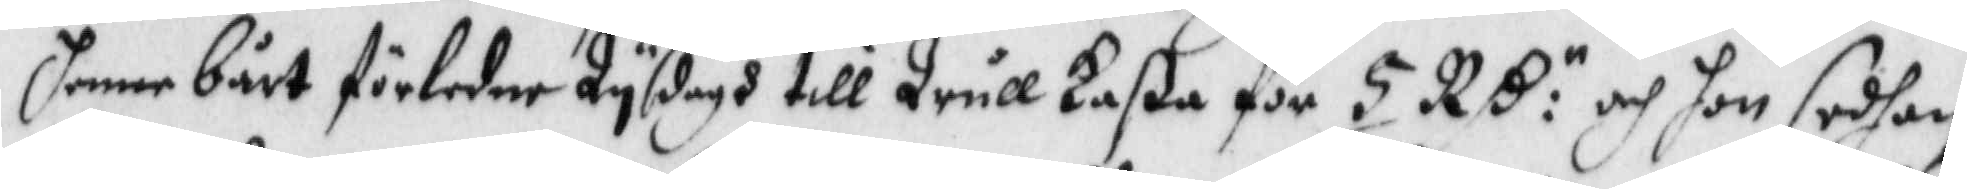henne bårt förledne Tysdagh till Trull Laßa för 5 RS:roch hon sedhan
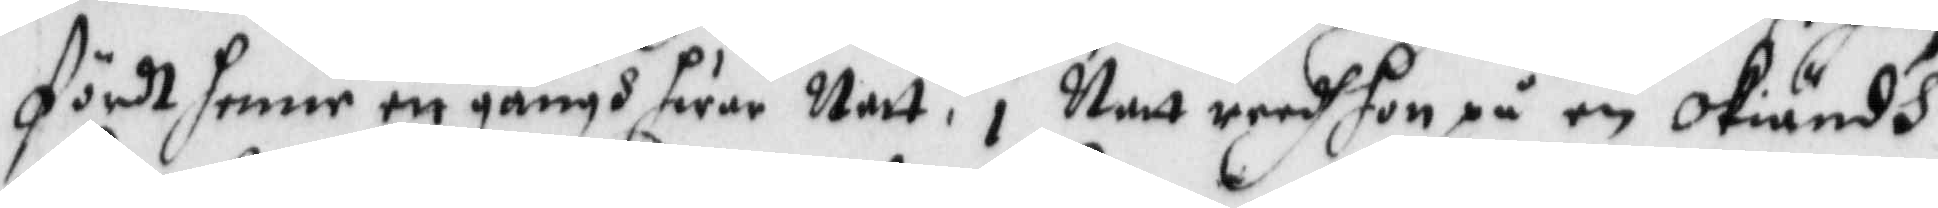fördt henne en gångh hwar Natt, i Natt redh hon på en okiändh
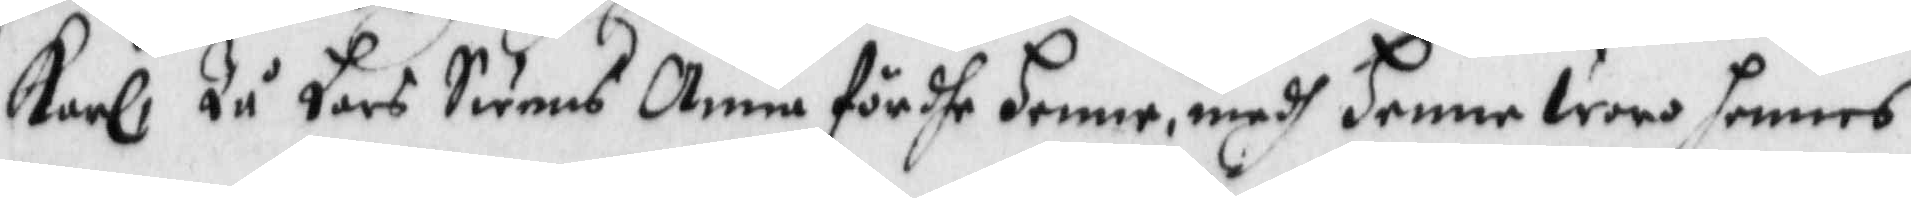Karl, Tå Lars Swens Anna fördhe henne medh henne woro hennes
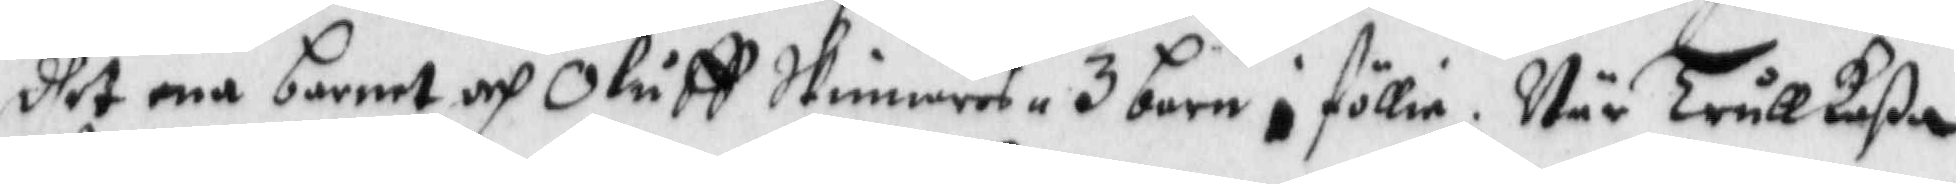dhet ena barnet och Oluff Skinnares 3 barn i föllie. När TrullLaßa
